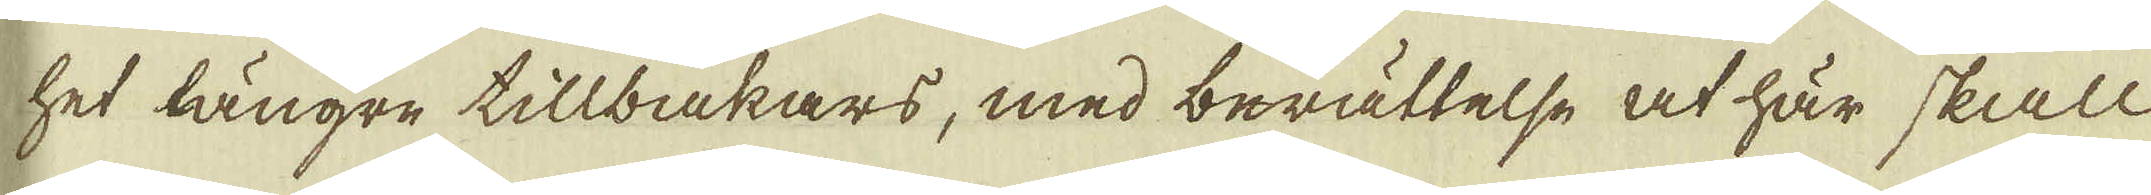het längre tillbakars, med berättelse at här skall
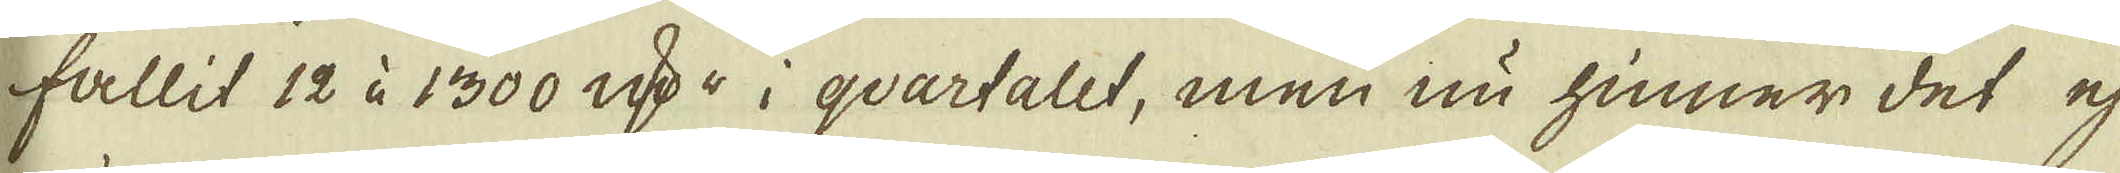fallit 12 à 1300 qv:r i qvartalet, men nu hinner det ej
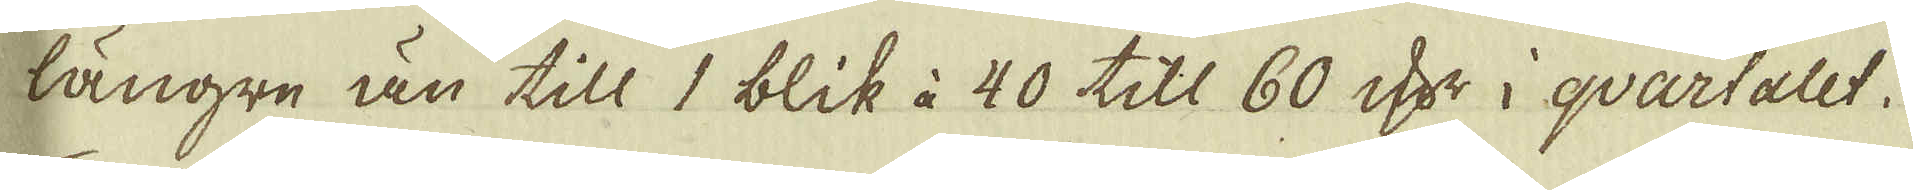längre än till 1 blik à 40 till 60 qv:r i qvartalet.
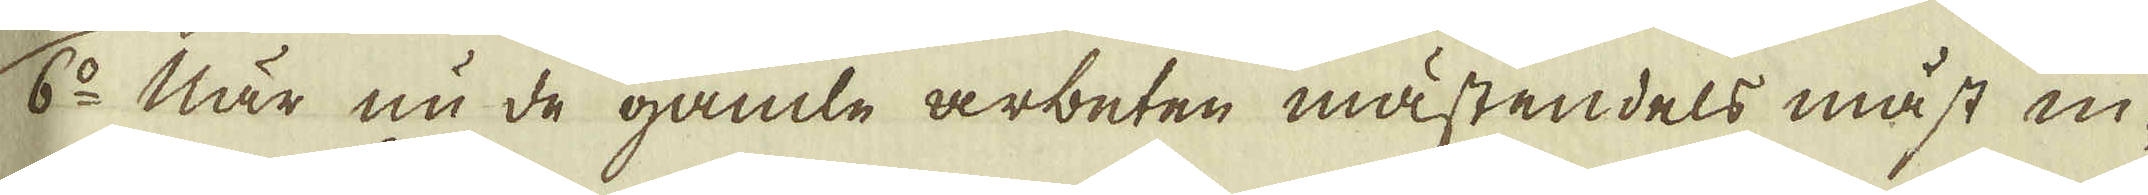6:o När nu de gamle arbeten mästendels måst in-
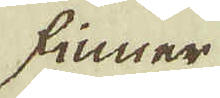finner
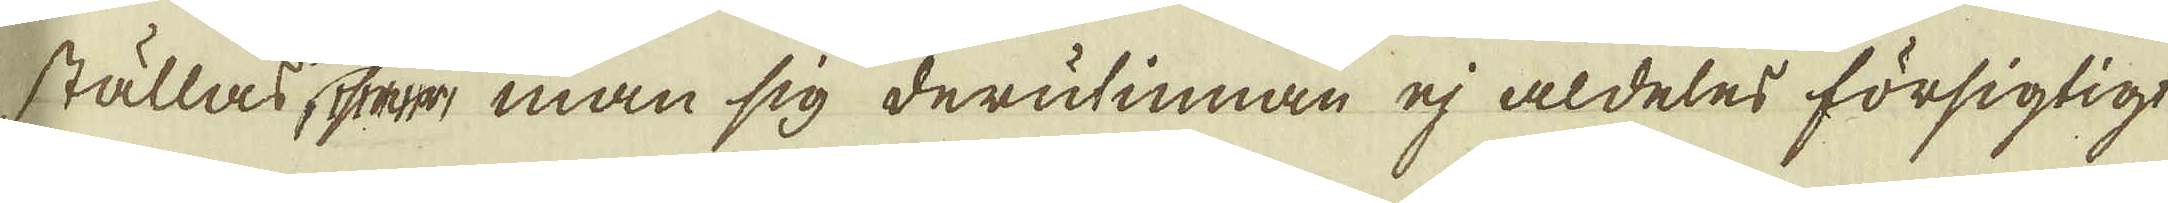ställas ser man sig derutinnan ej aldeles försigtigt
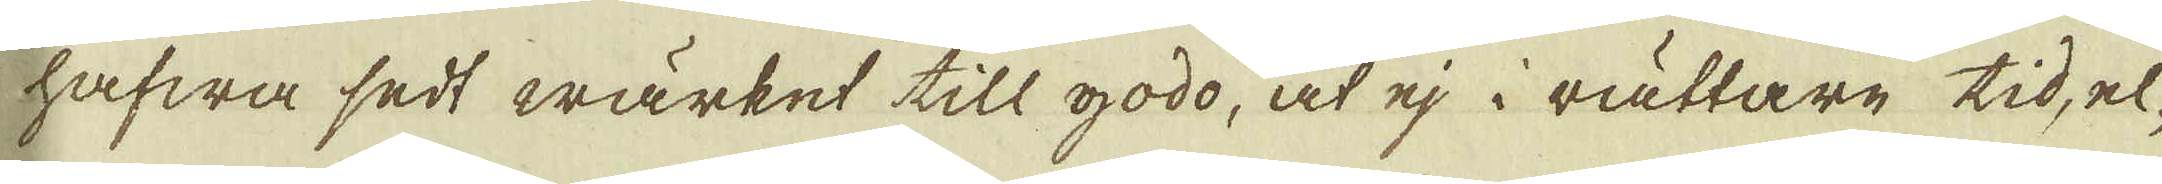hafwa sedt wärket till godo, at ej i rättare tid, el-
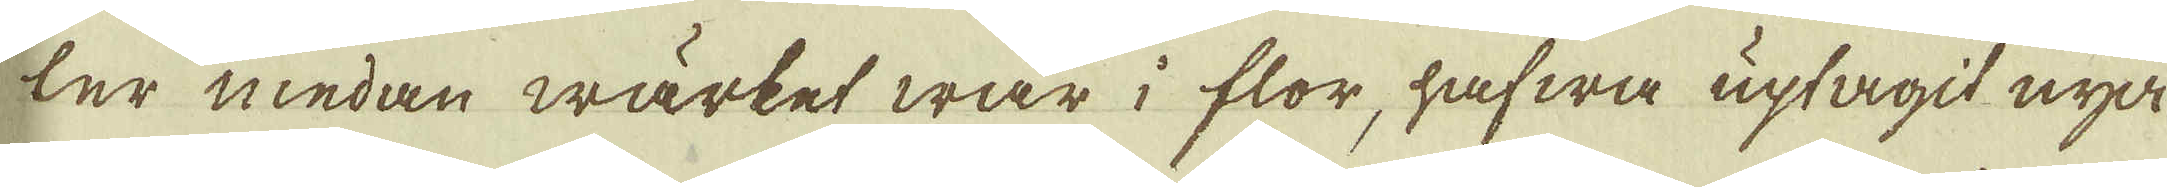ler medan wärket war i flor, hafwa uptagit nya
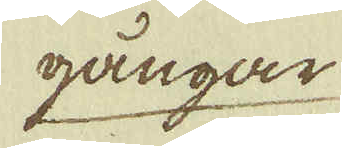gångar
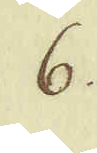6.
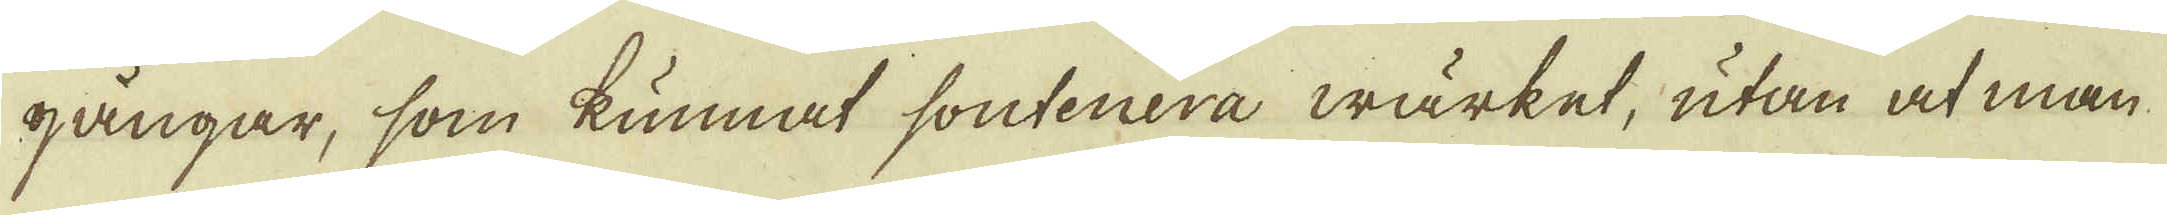gångar, som kunnat soutenera wärket, utan at man
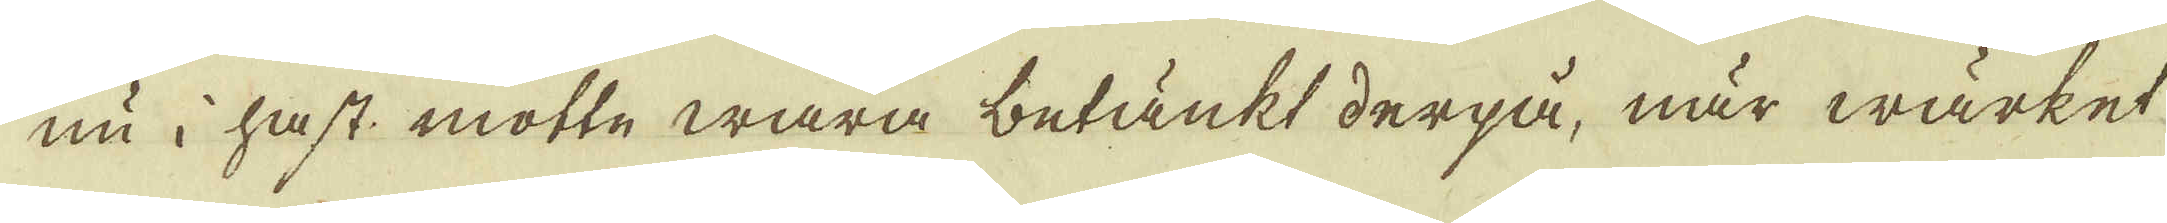nu i hast motte wara betänkt derpå, när wärket
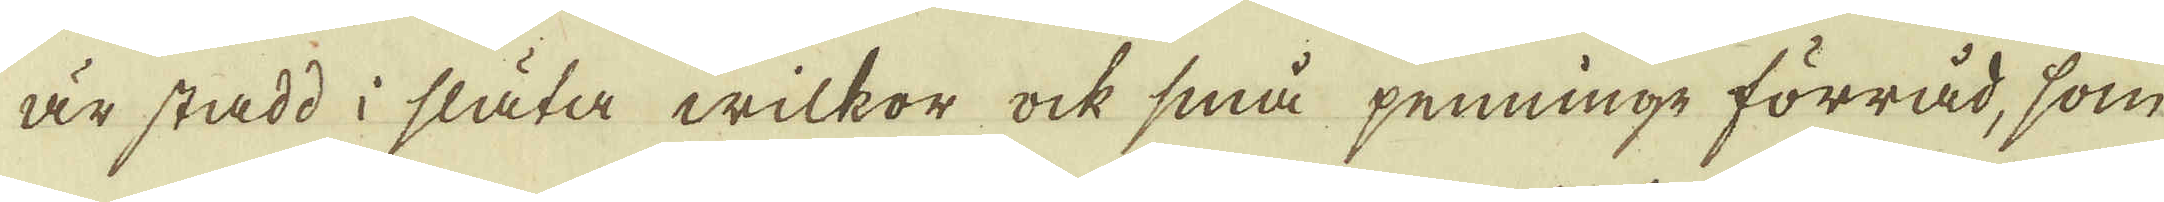är stadd i släta wilkor ock små penninge förråd, som
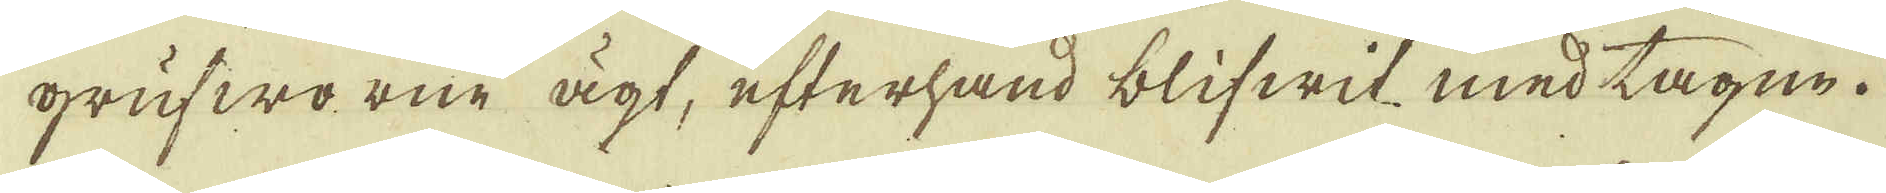grufworne ägt, efterhand blifwit med tagne.
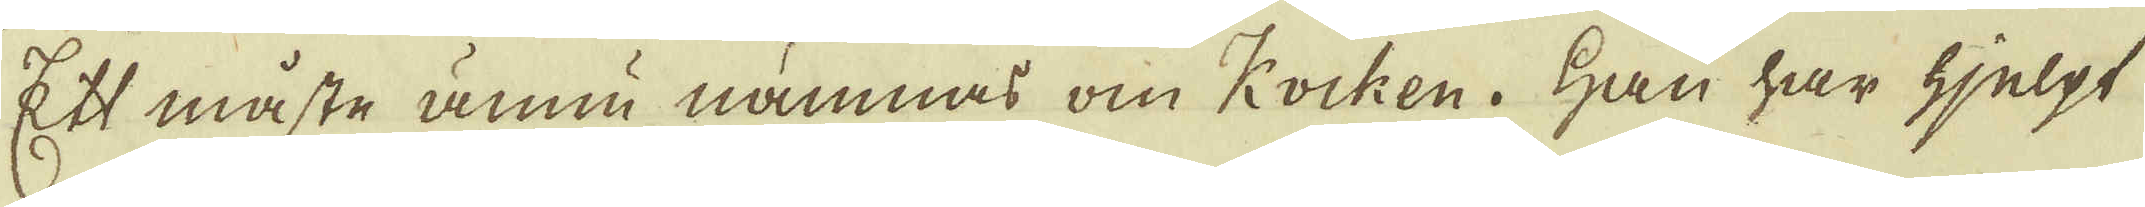Ett måste ännu nämnas om Kocken. Han har hjelpt
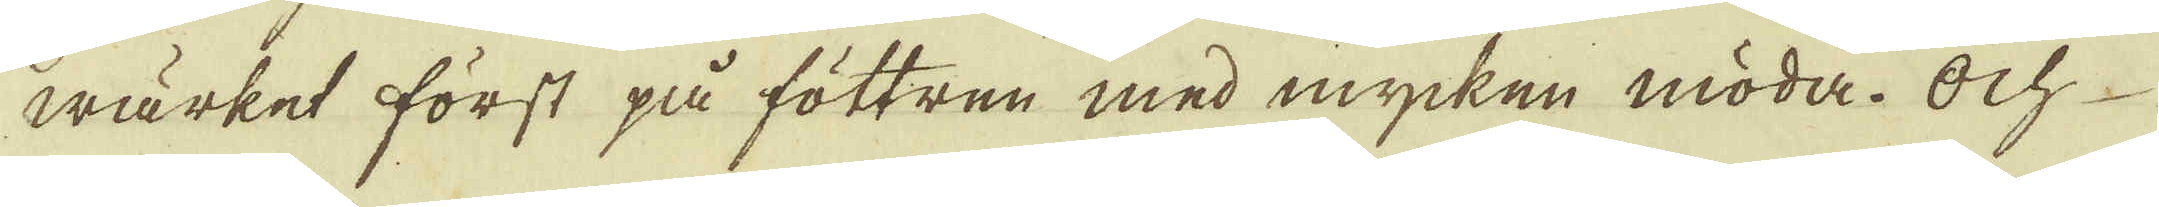wärket först på föttren med mycken möda. Och
